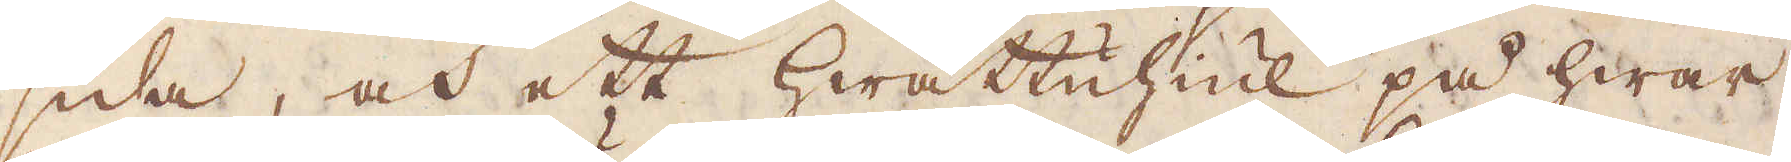sida, och ett Hwattuhiul på hwar
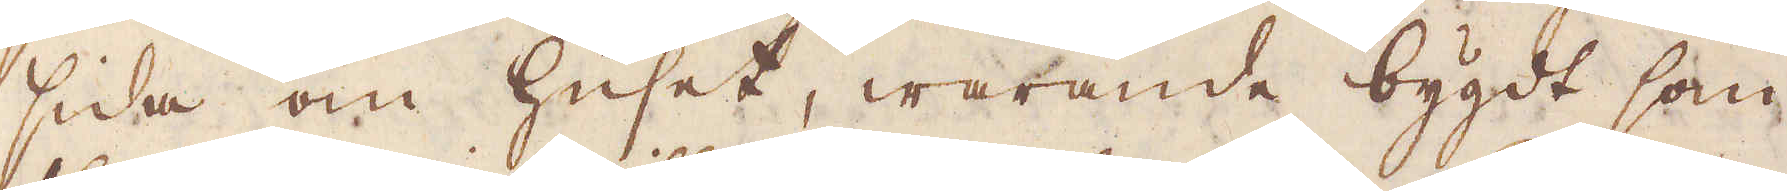sida om Huset, warande bygdt som
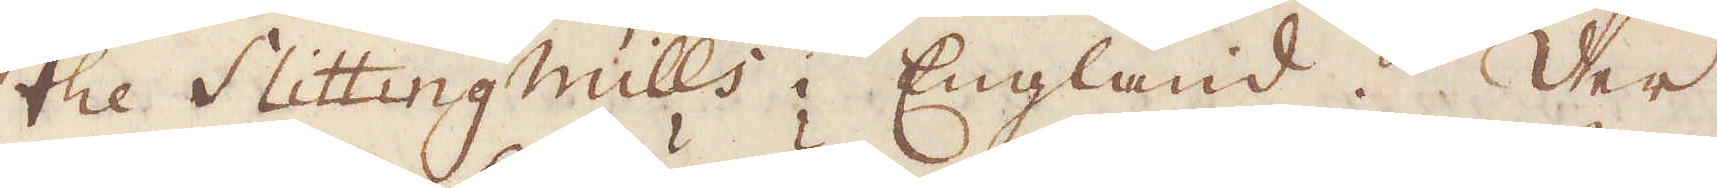the Slitting Mills i England. Der
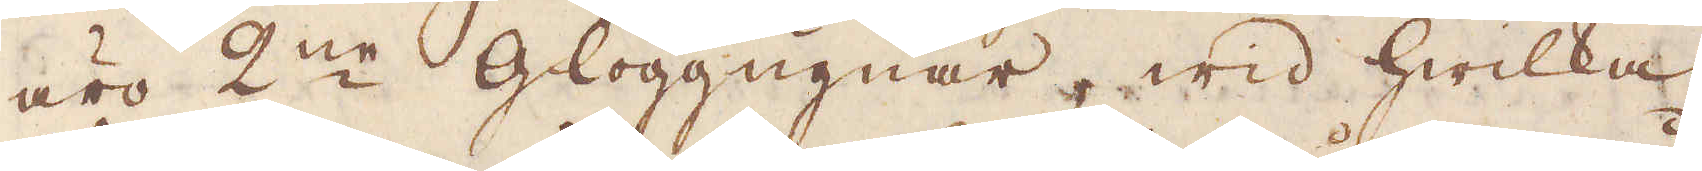äro 2:ne Glöggugnar, wid hwilka
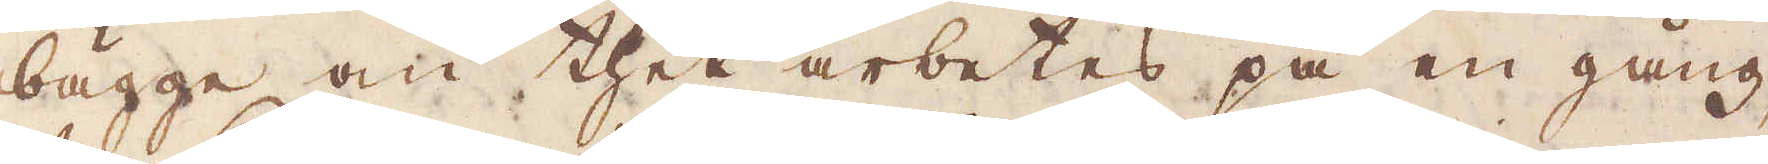bägge om thet arbetas på en gång,
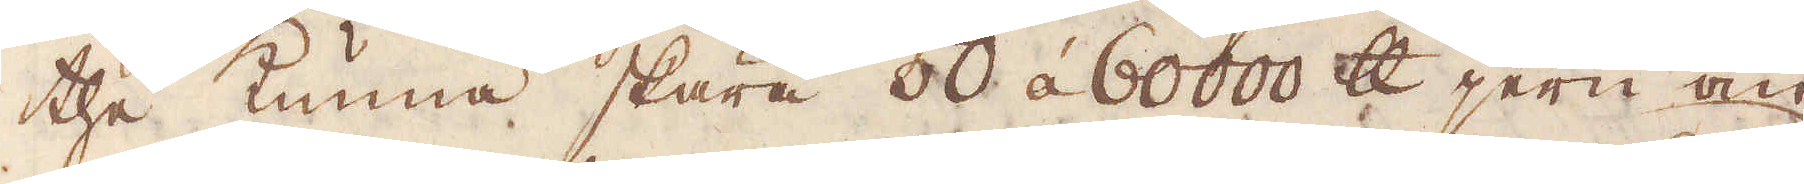the kunna skära 50 á 60000 skålpund jern om
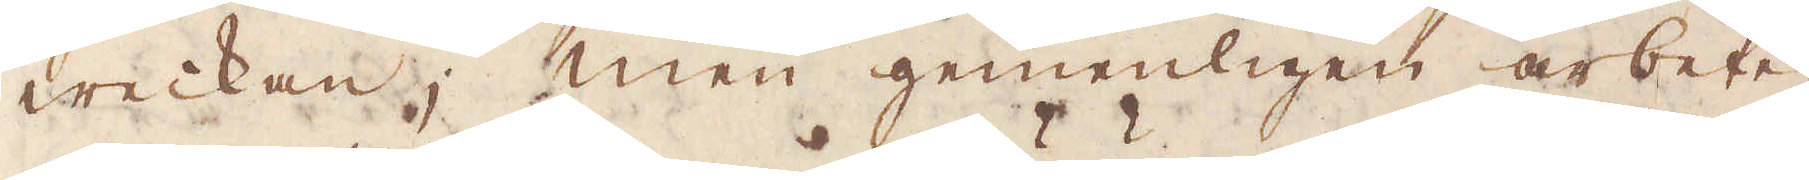weckan; men gemenligen arbetes
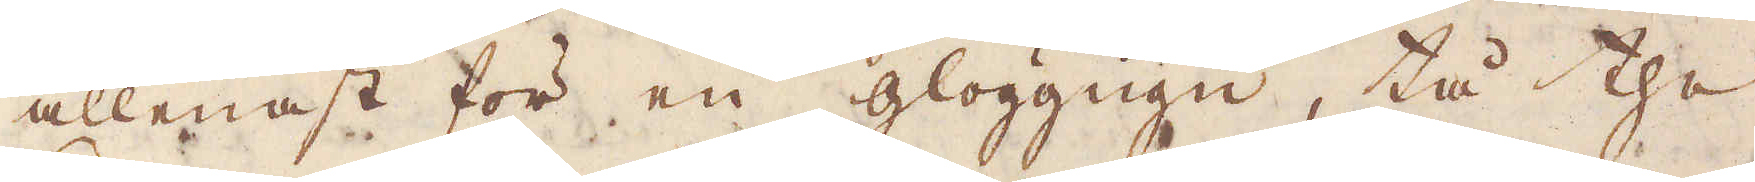allenast för en glöggugn, tå the
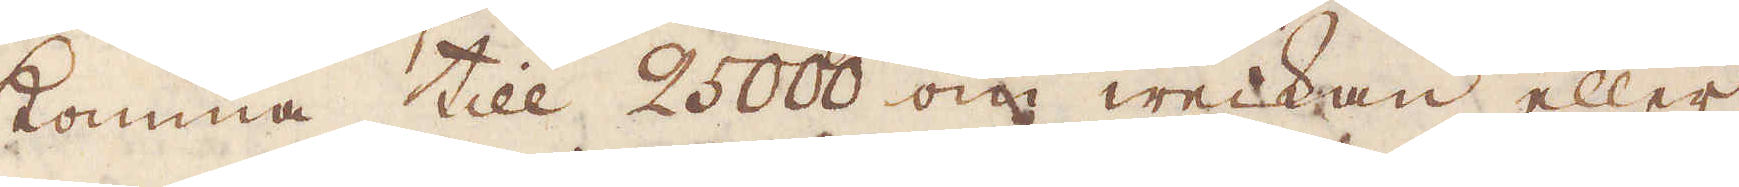komma till 2500 om weckan eller
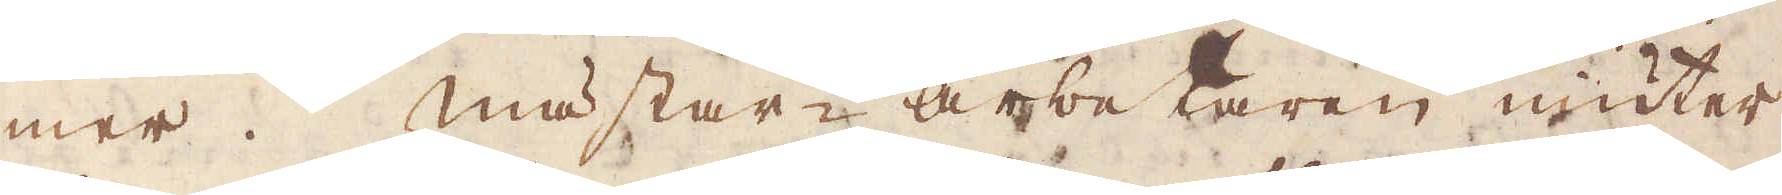mer. Mästar-Arbetaren niuter
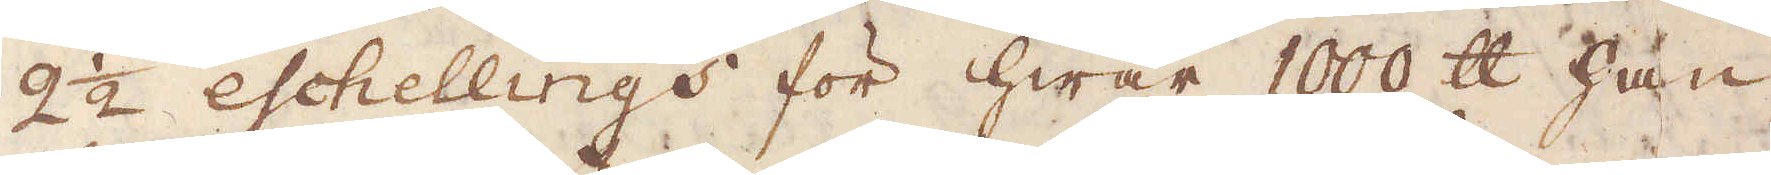2 1/2 eschellings för hwar 1000 skålpund han
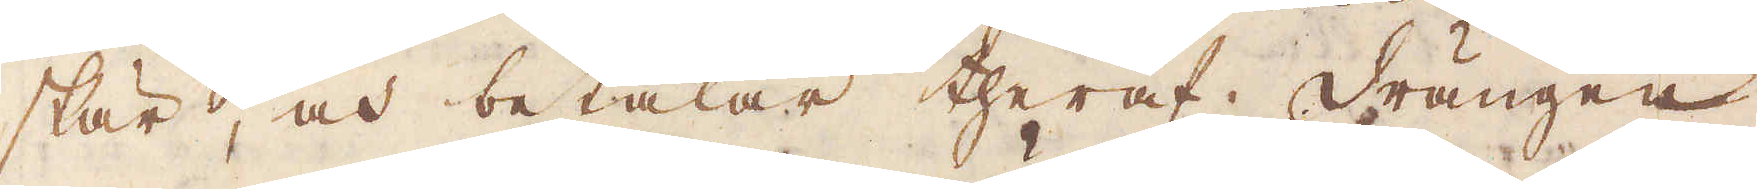skär, och betalar theraf Drängen
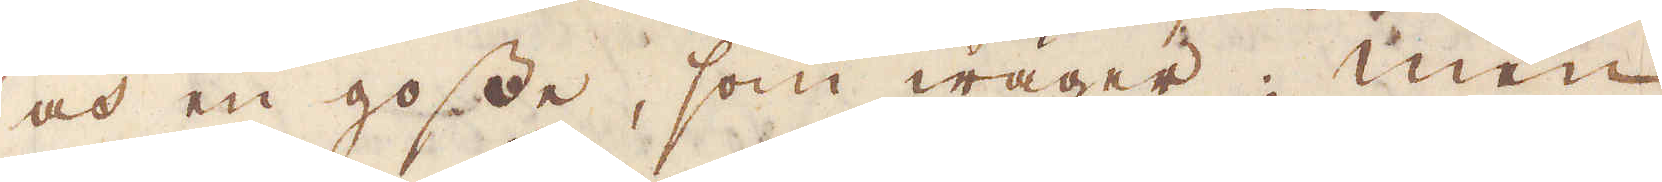och en gosse, som wäger; men
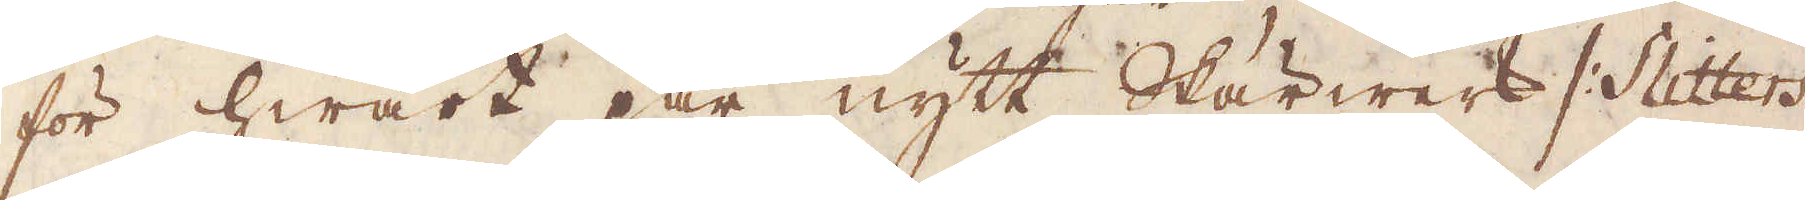för hwart par nytt Skärwerk /: Slitters
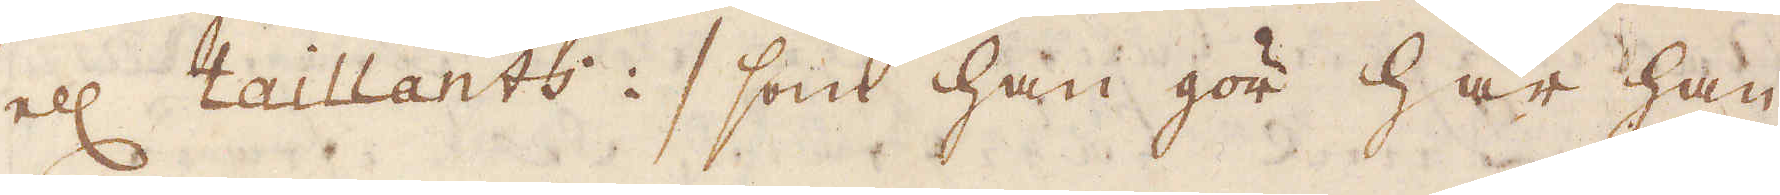ell: taillants :/ som han gör har han
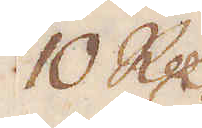10 R:dr
